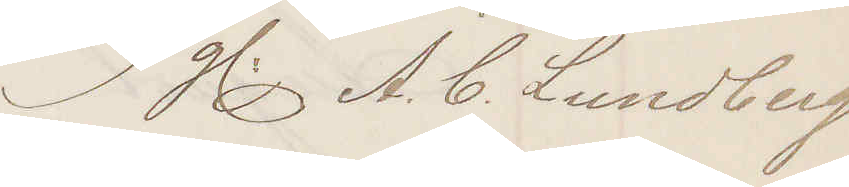g. A. C. Lundberg
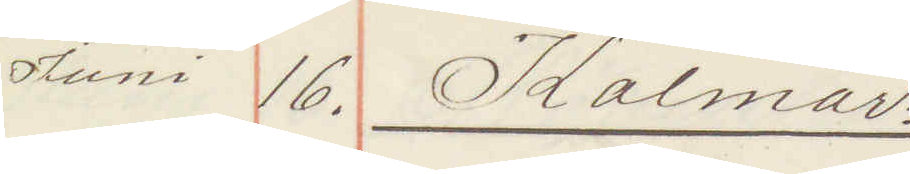Juni 16. Kalmar
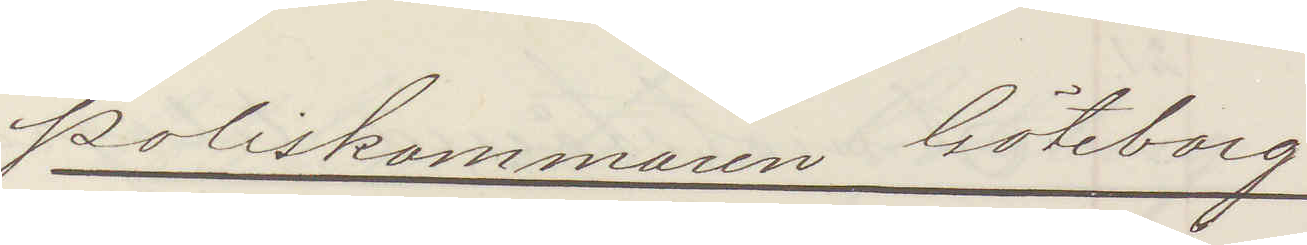Poliskammaren Göteborg
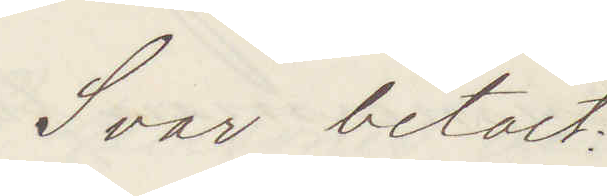Svar betalt:
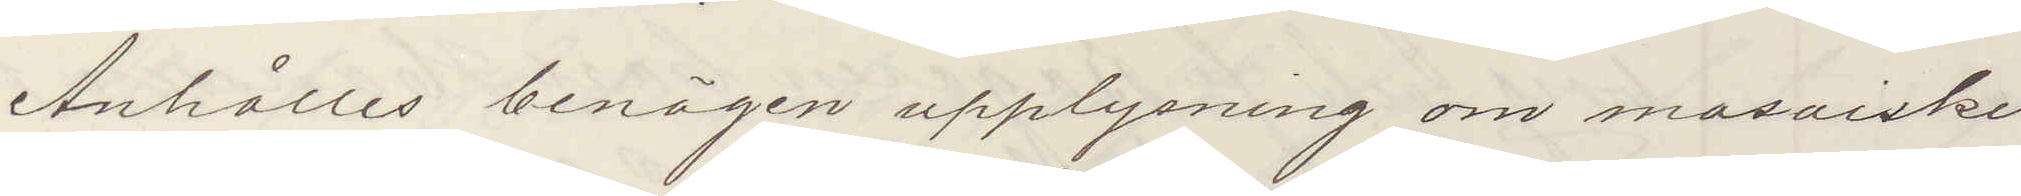Anhålles benägen upplysning om mosaiske
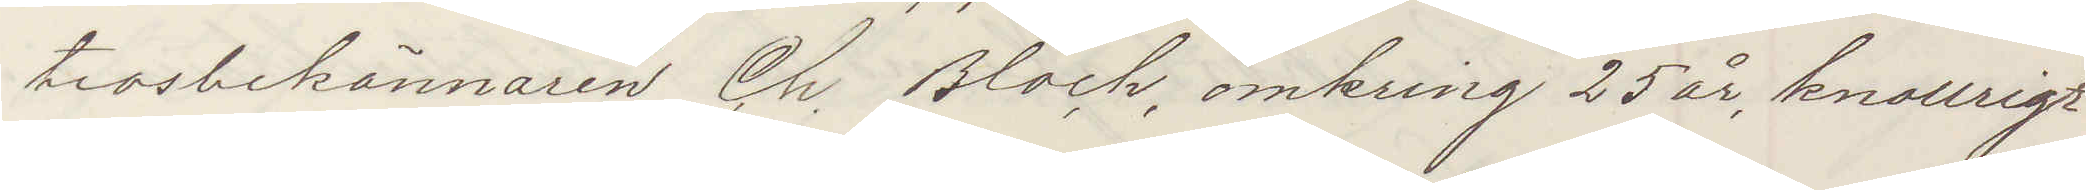trosbekännaren Ch Bloch, omkring 25 år, knollrigt
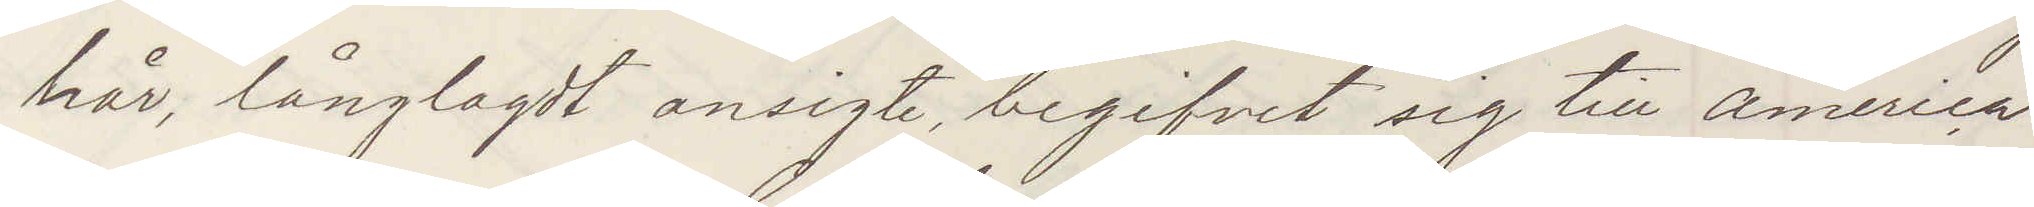hår, långlagdt ansigte, begifvit sig till America
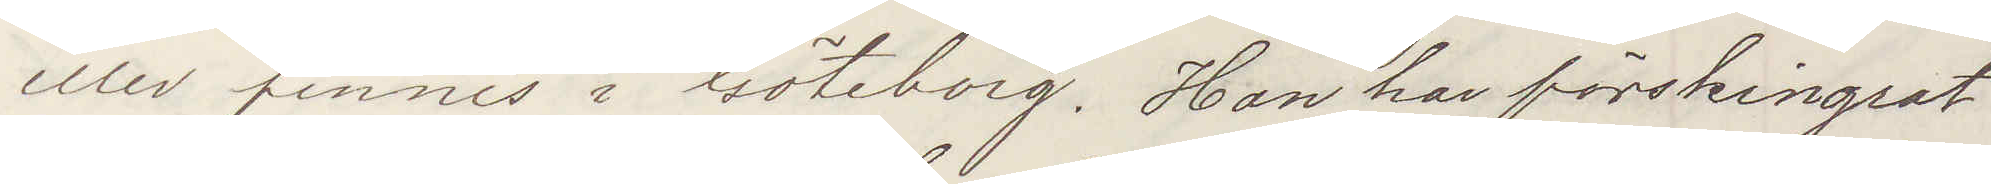eller finnes i Göteborg. Han har förskingrat
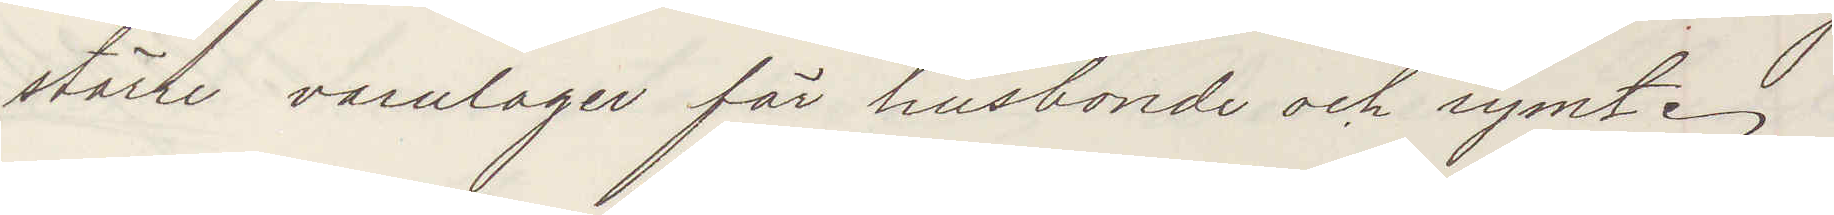större varulager för husbonde och rymt.
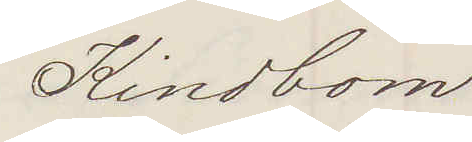Kindbom
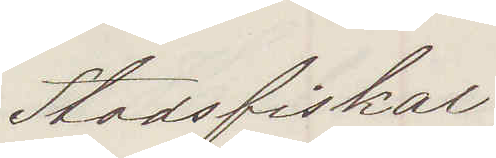Stadsfiskal
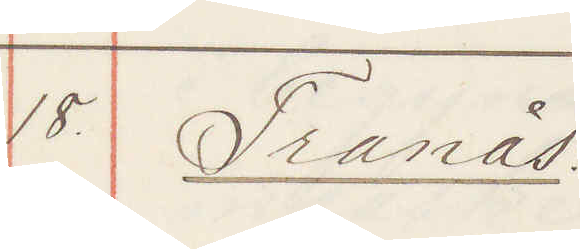18. Tranås:
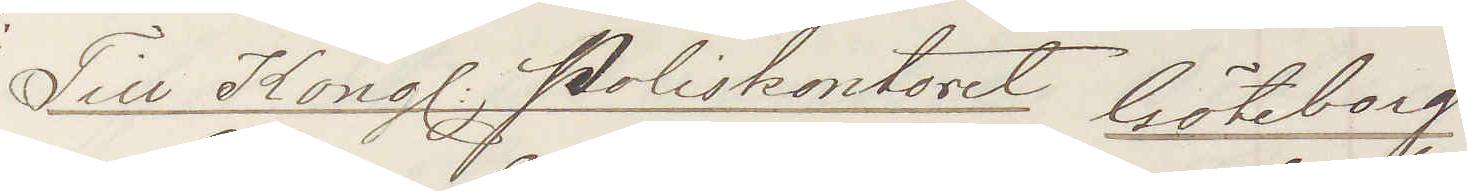Till Kongl Poliskontoret Göteborg
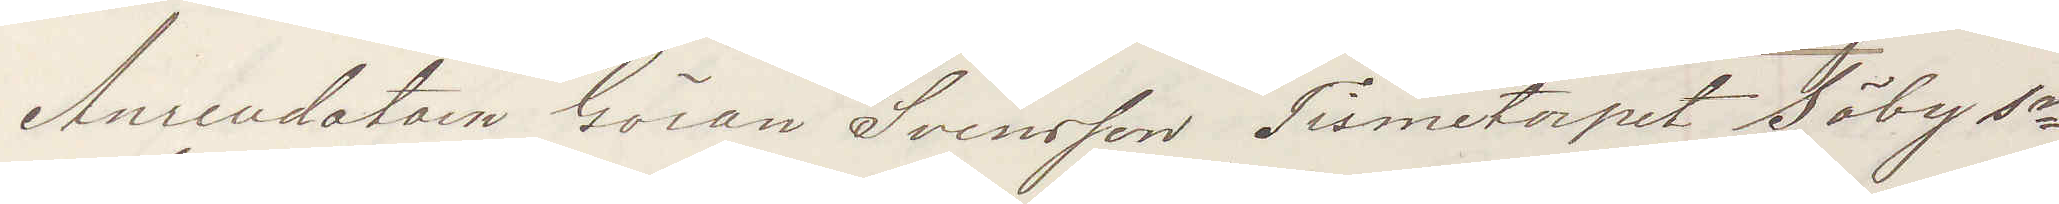Arrendatorn Göran Svensson Tismetorpet Säby Sn
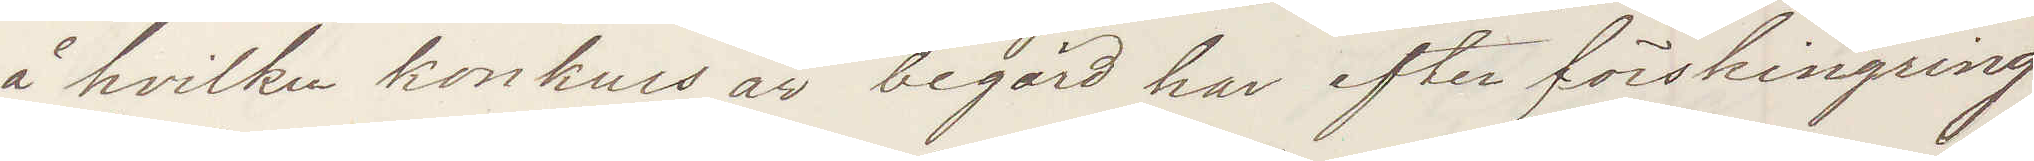å hvilken konkurs är begärd har efter förskingring
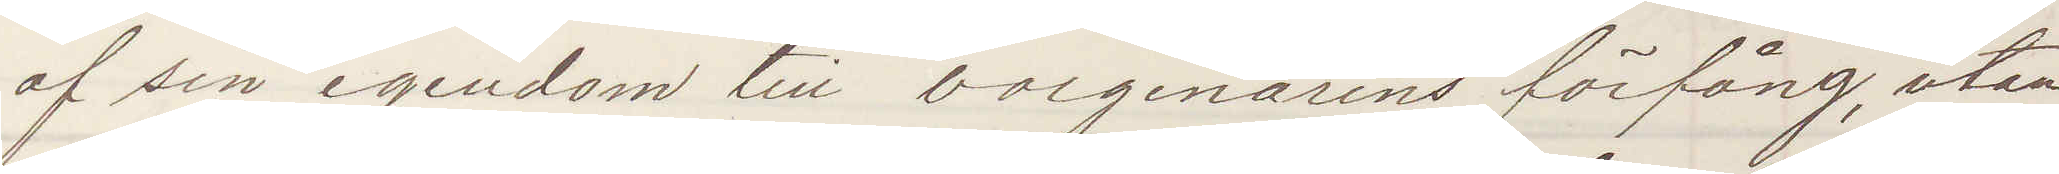af sin egendom till borgenärens förfång, utan
